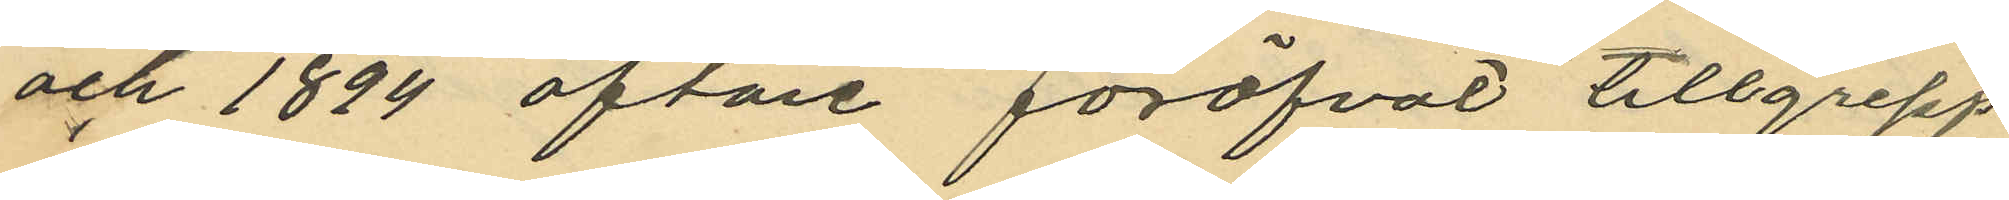och 1894 oftare föröfvat tillgrepp
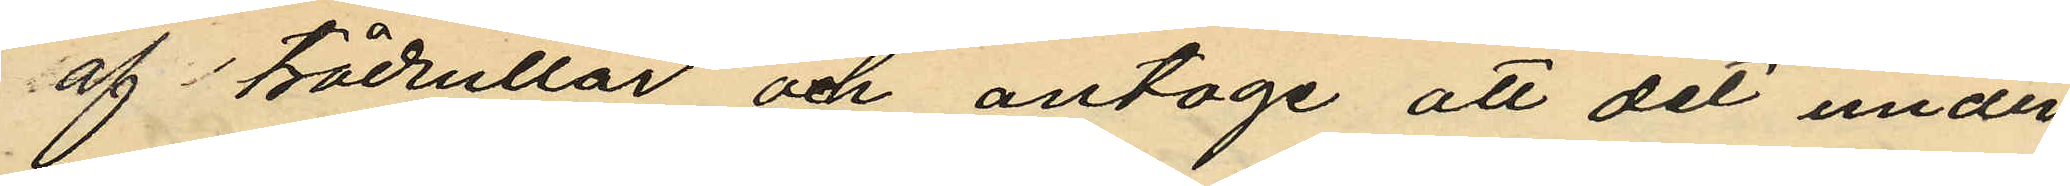af trådrullar och antoge att det under
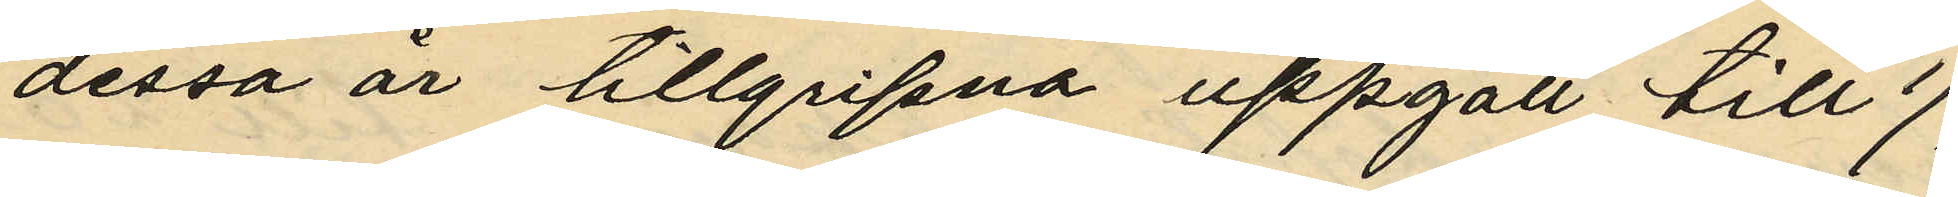dessa år tillgripna uppgått till 1/2
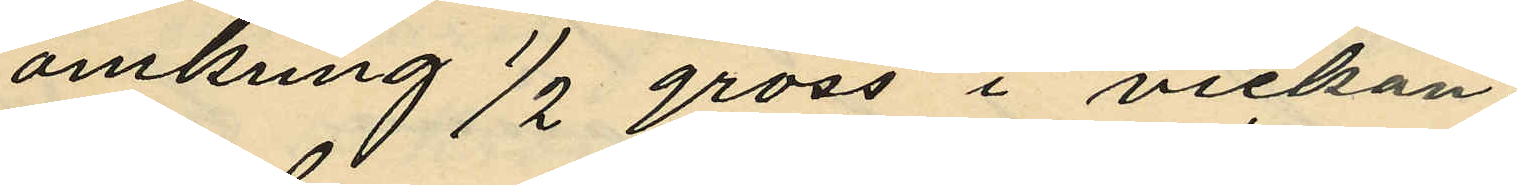omkring 1/2 gross i vickan,
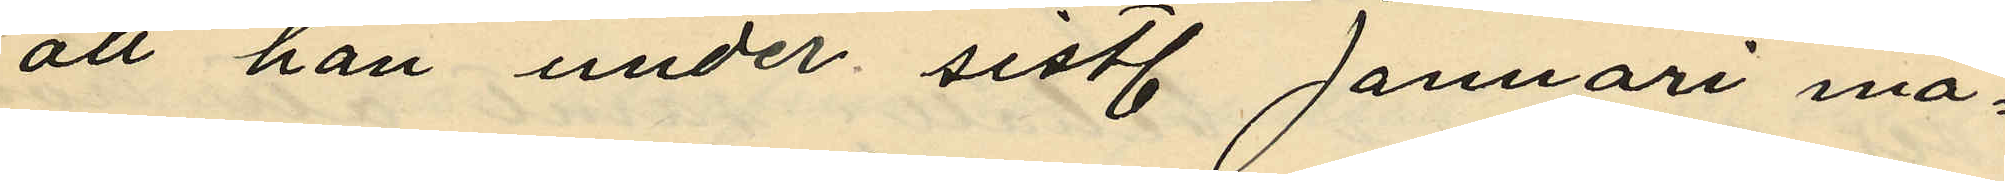att han under sist. Januari må¬
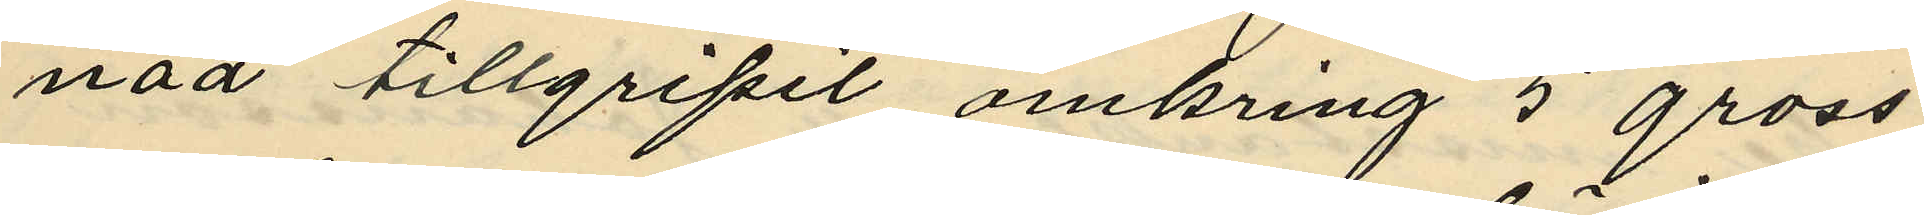nad tillgripit omkring 5 gross
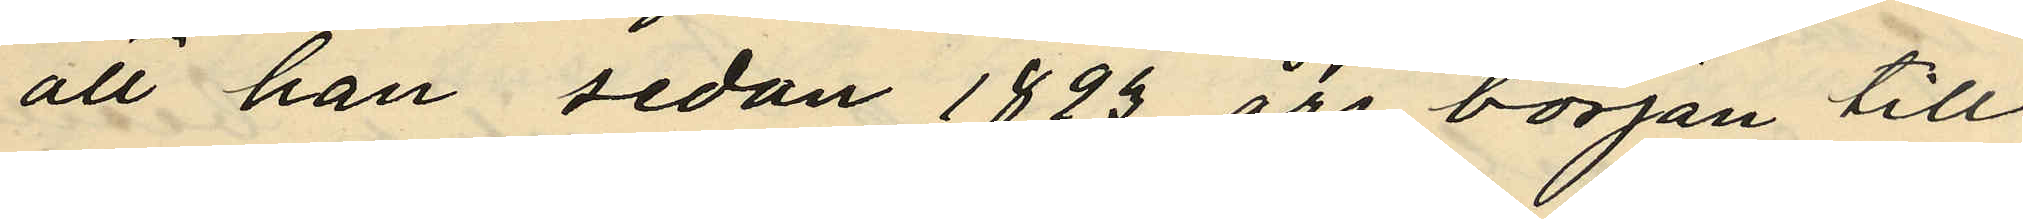att han sedan 1893 års början till
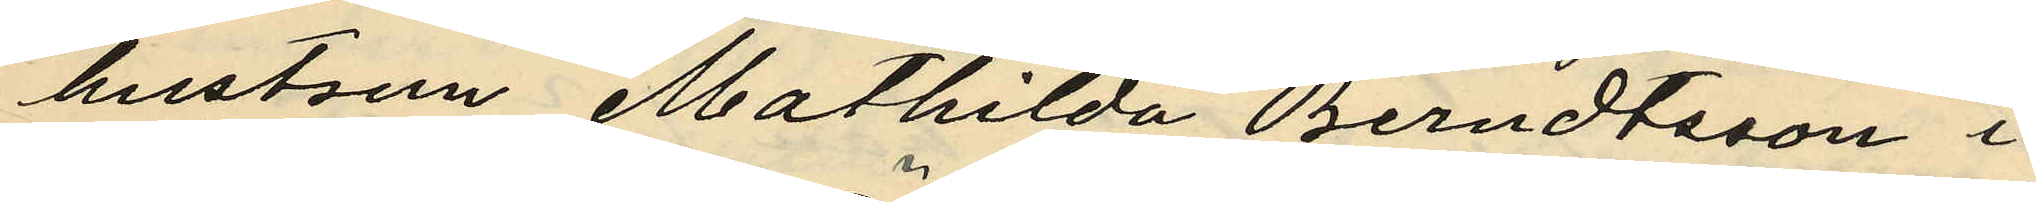hustrun Mathilda Berndtsson i
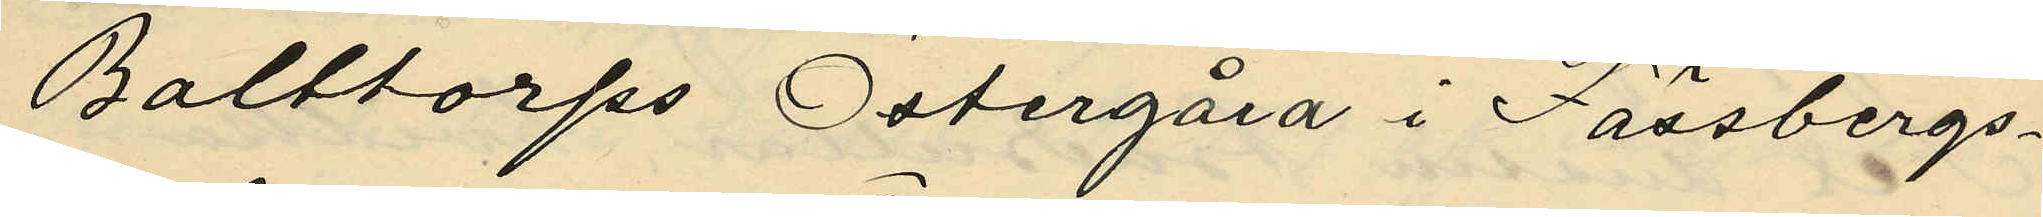Balttorps Östergård i Fässbergs
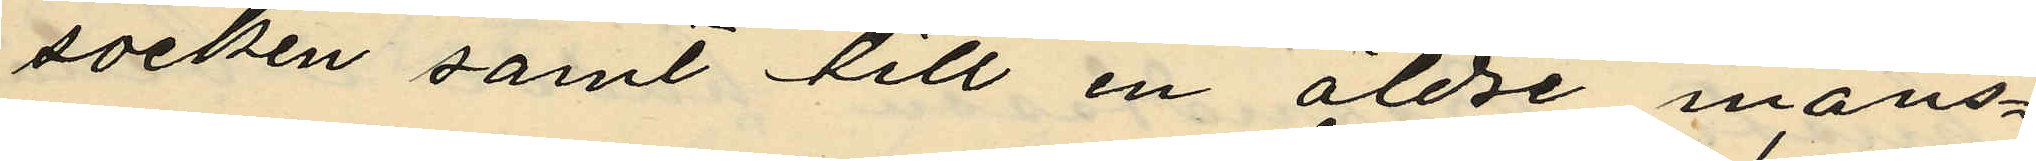socken samt till en äldre mans¬
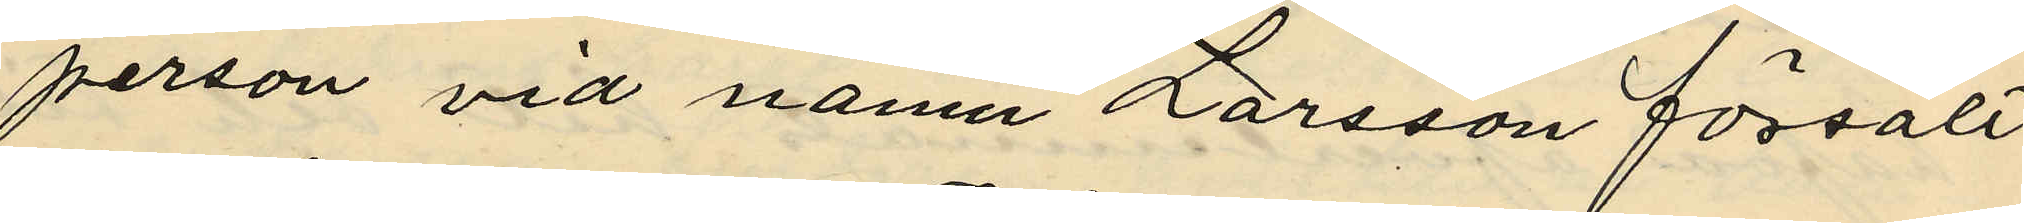person vid namn Larsson försålt
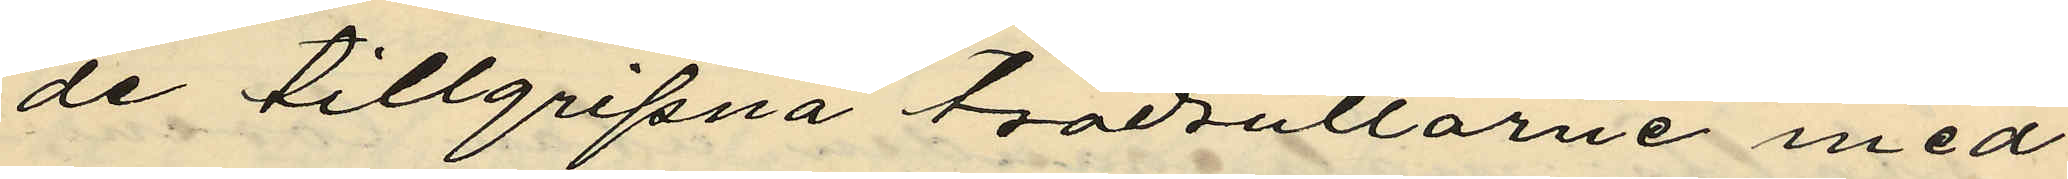de tillgripna trådrullarne med
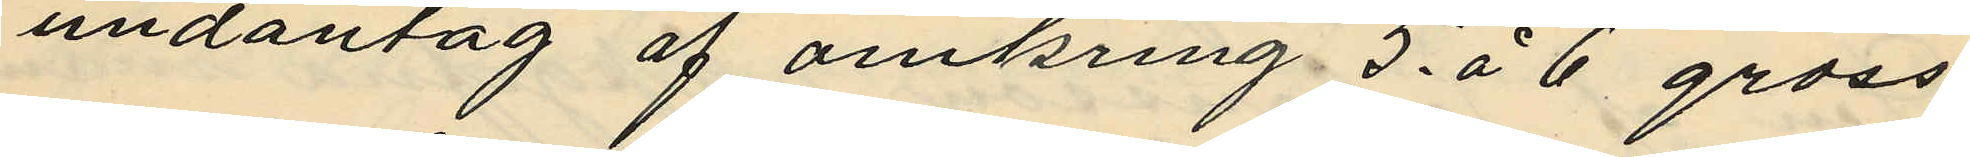undantag af omkring 5. á 6 gross
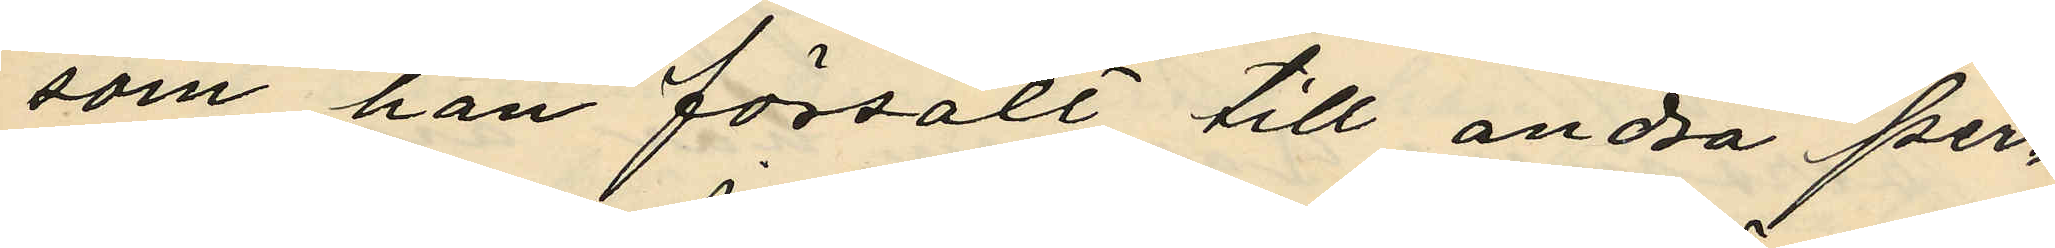som han försålt till andra per¬
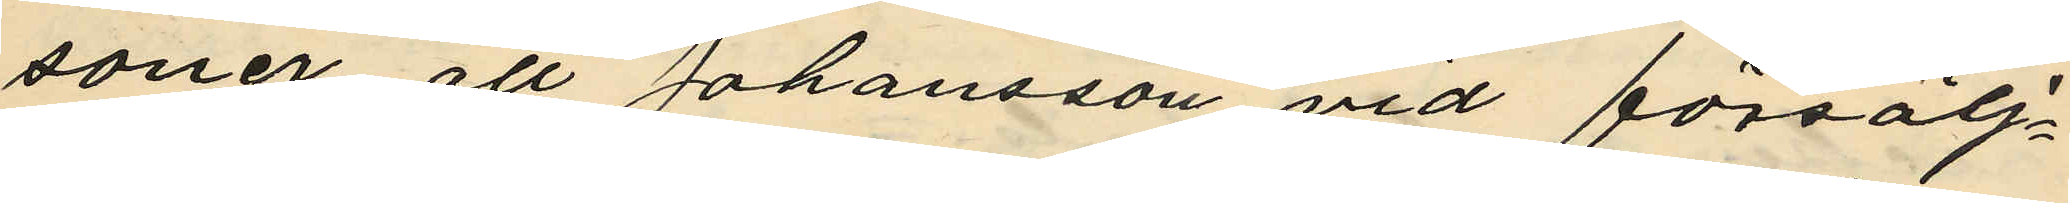soner, att Johansson vid försälj¬
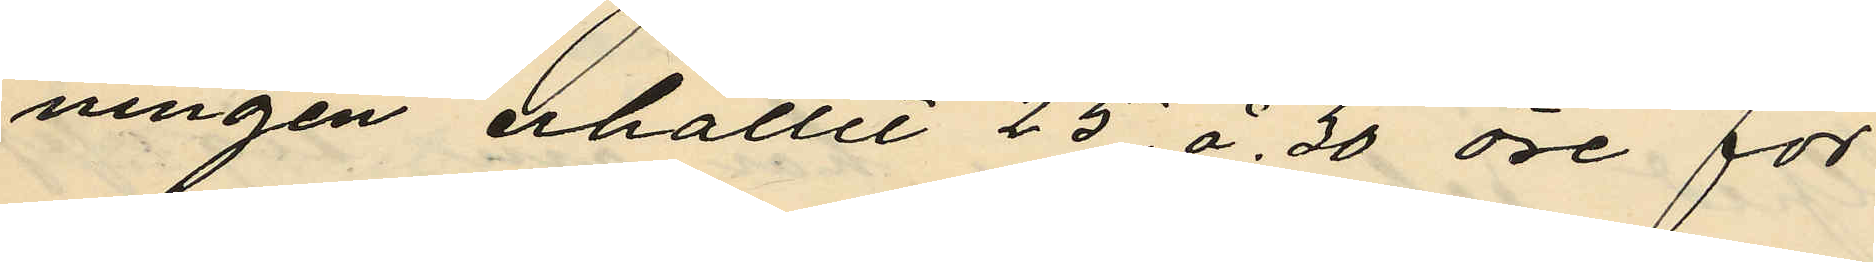ningen erhållit 25 á 30 öre för
